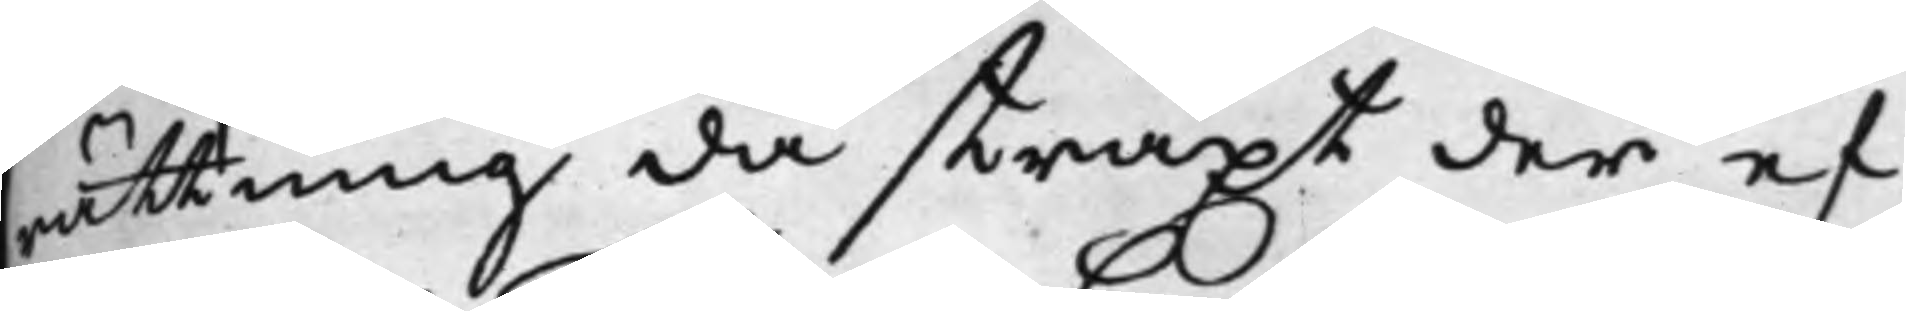rättning då straxt der ef¬
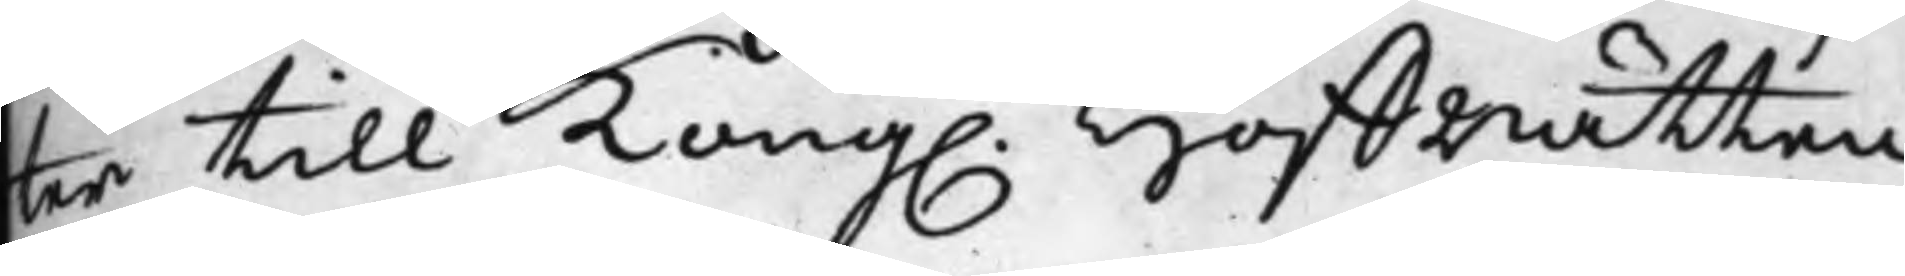ter till Kong. HoffRätten
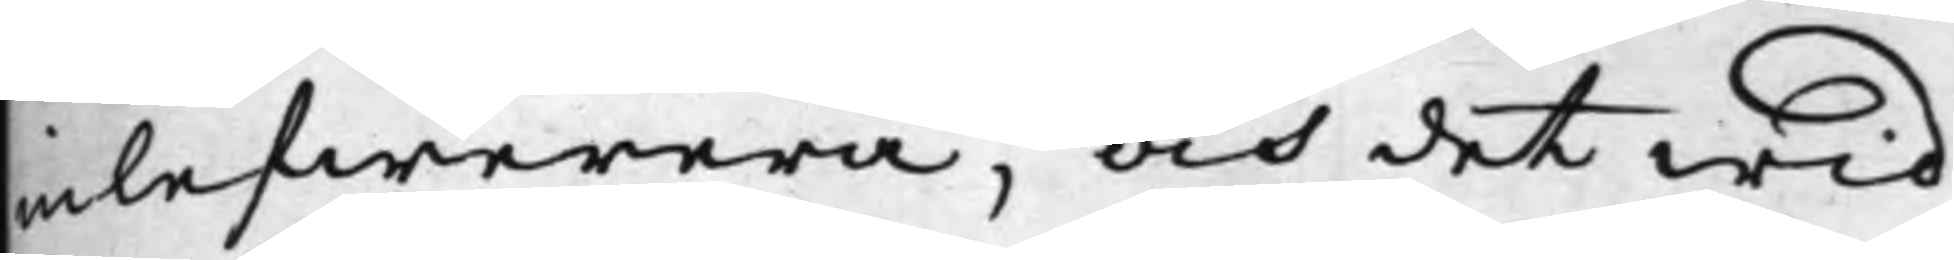inlefwerera, och det wid
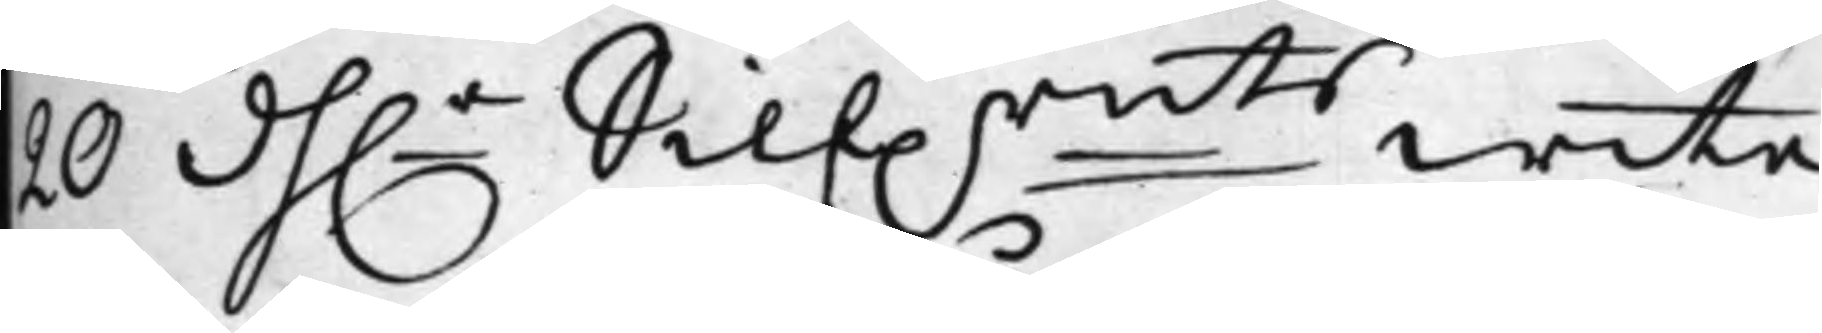20 D.r Silf.rmts wite
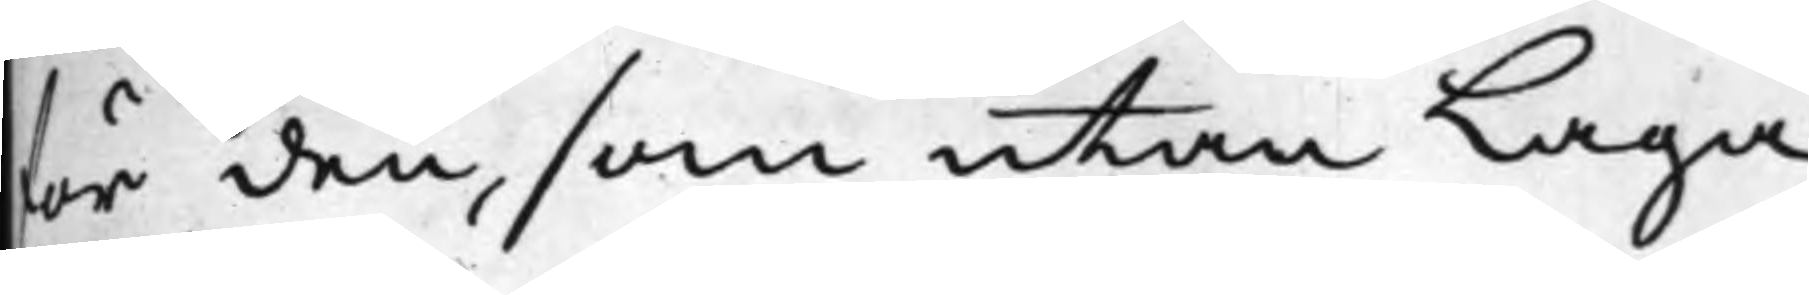för den, som utan Laga
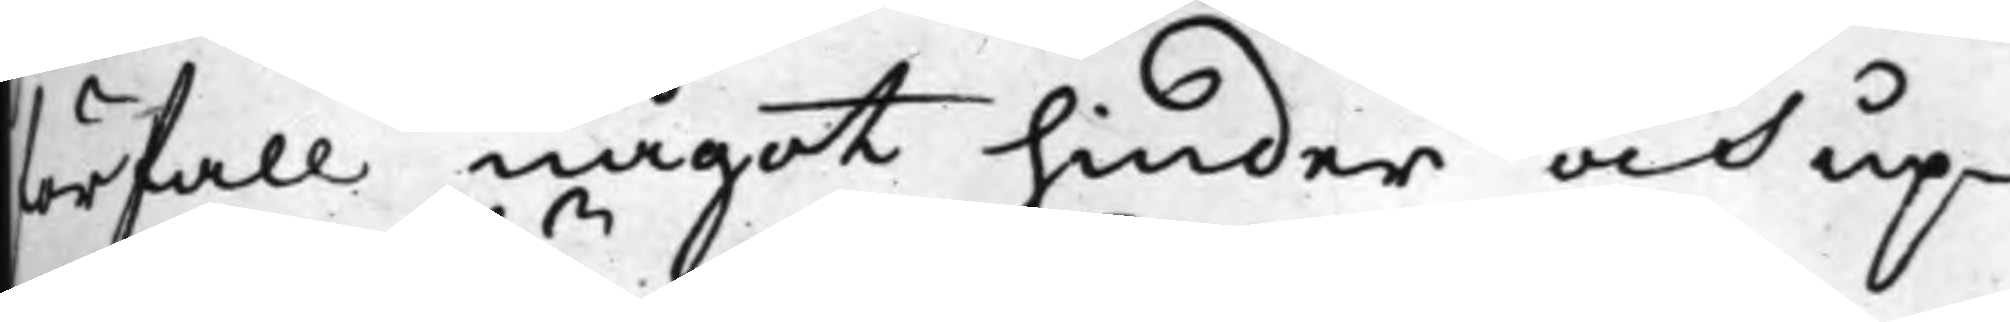förfall något hinder och up¬
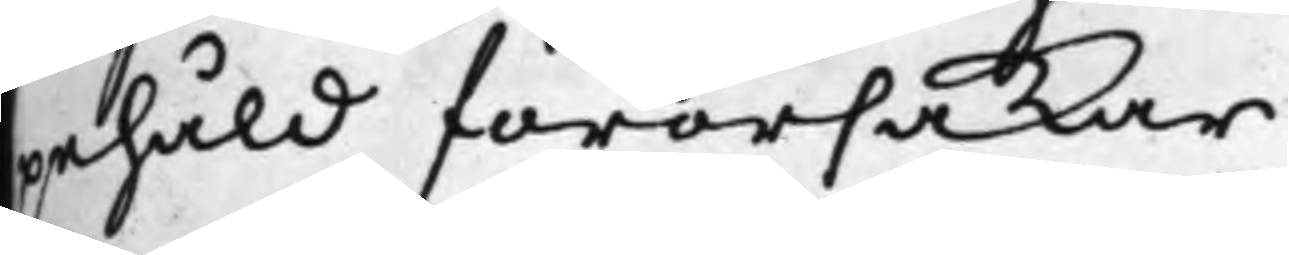pehåld förorsakar.
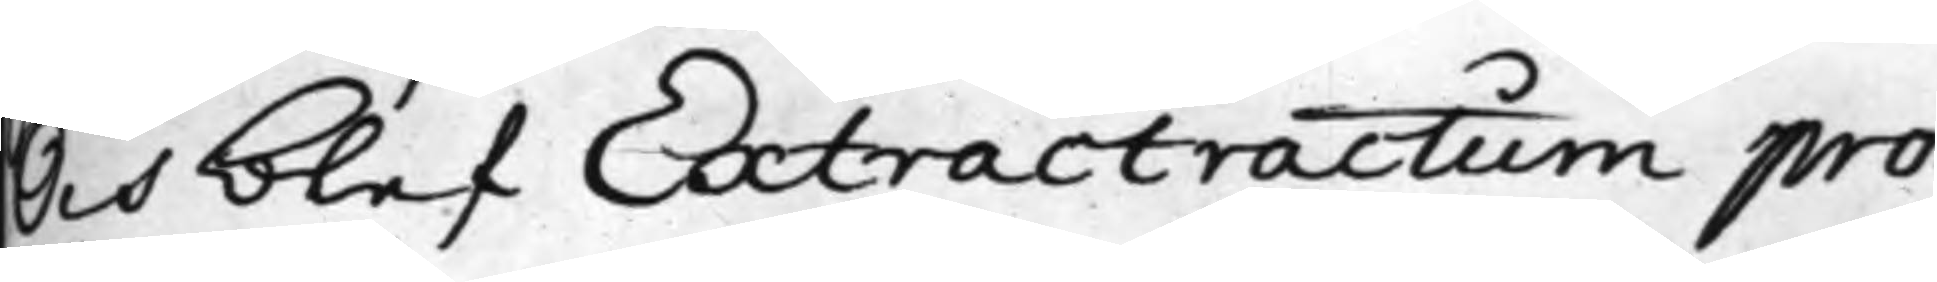Och blef Extractractum pro¬
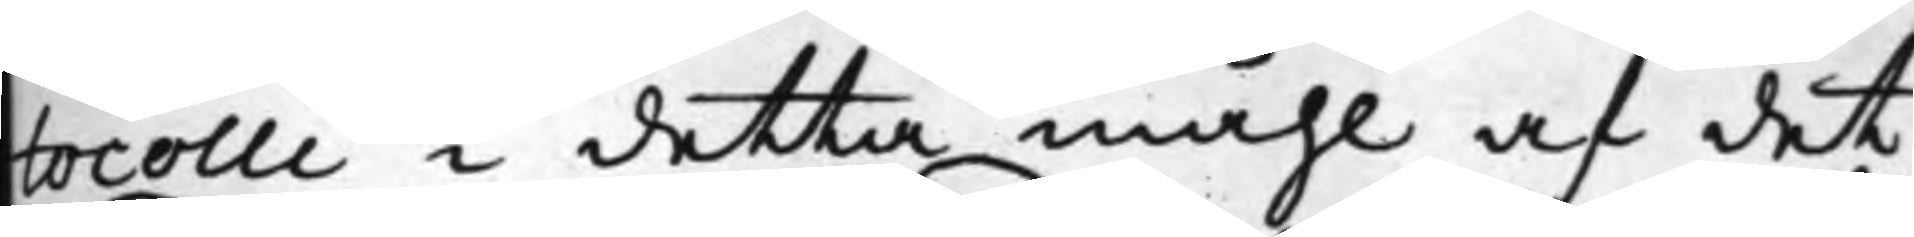tocolli i detta måhl af det¬
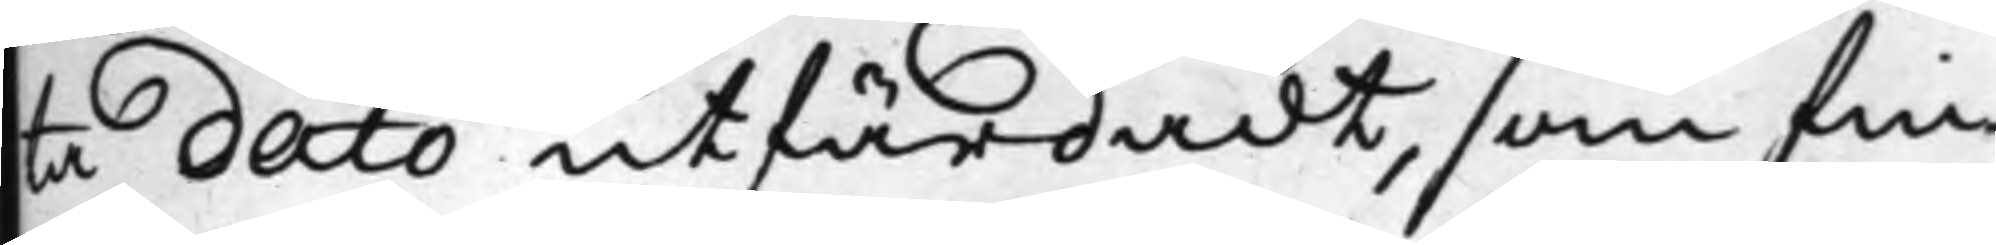ta dato utfärdadt, som fin¬
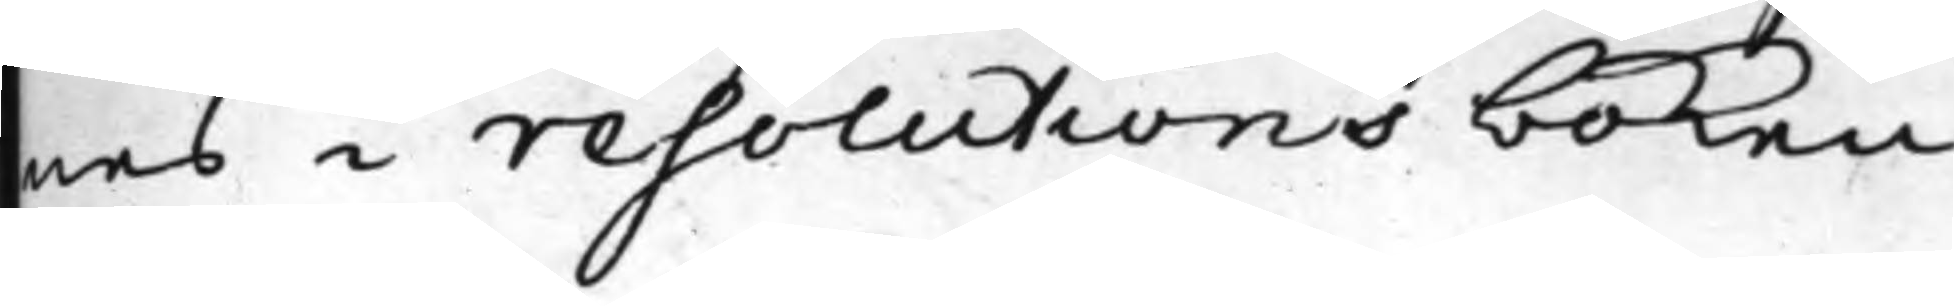nes i resolutions boken.
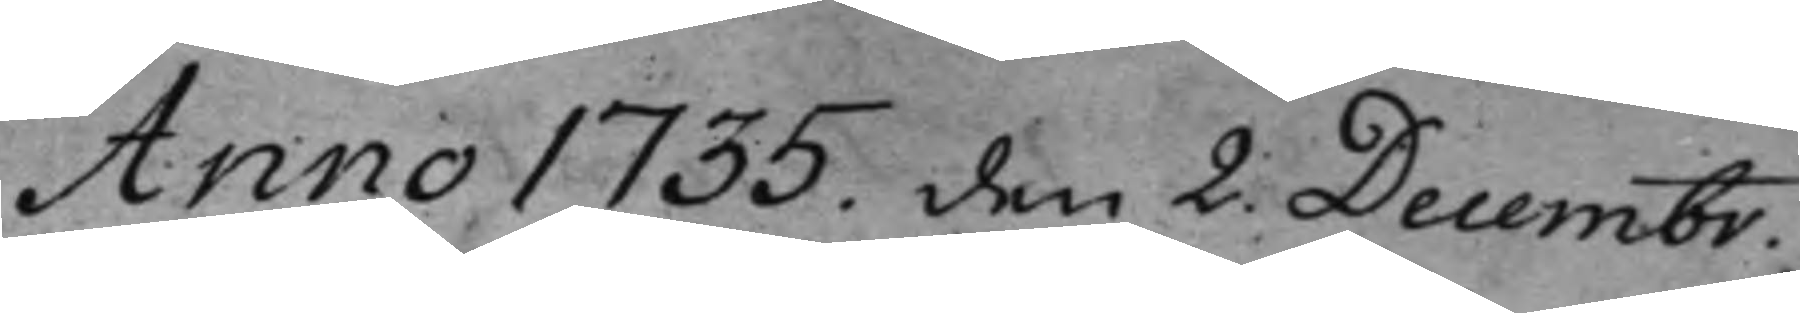Anno 1735. den 2. Decembr.
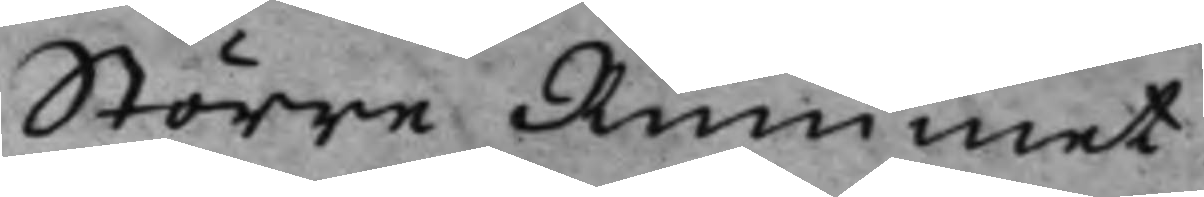Större Rummet.
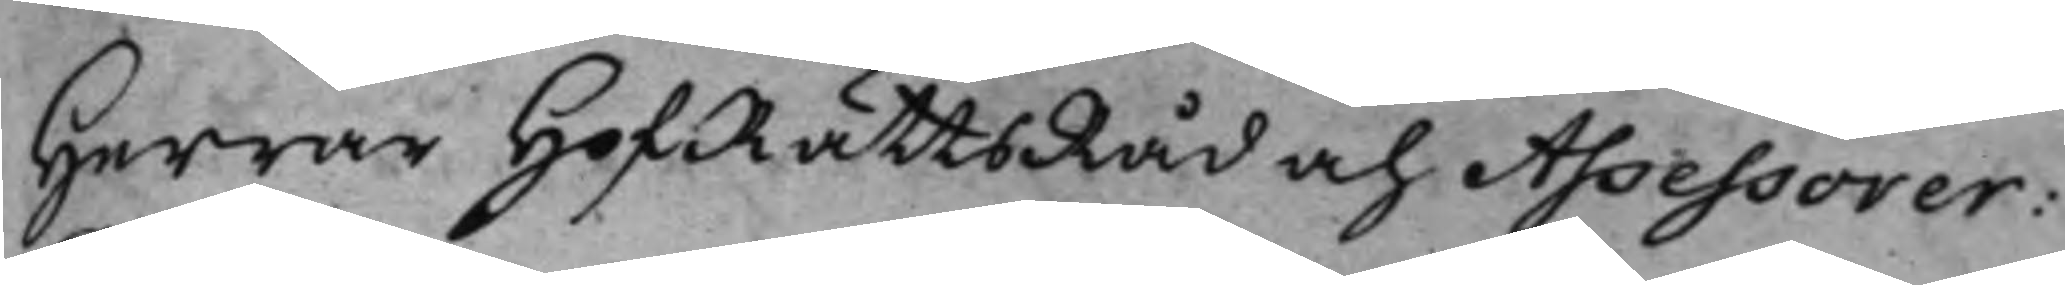Herrar HofRättsRåd och Assessorer:
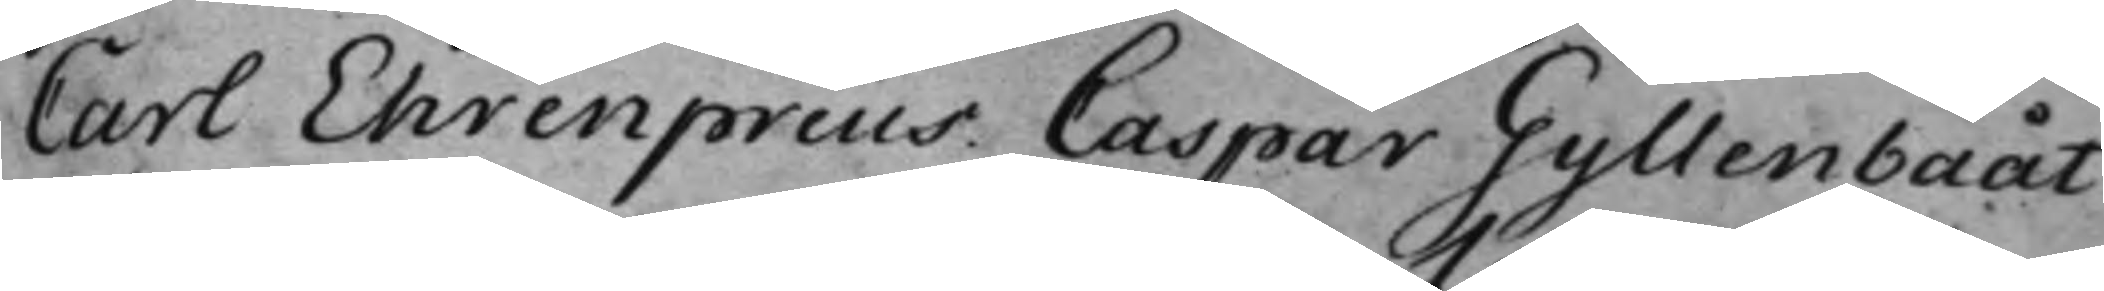Carl Ehrenpreus. Caspar Gyllenbååt.
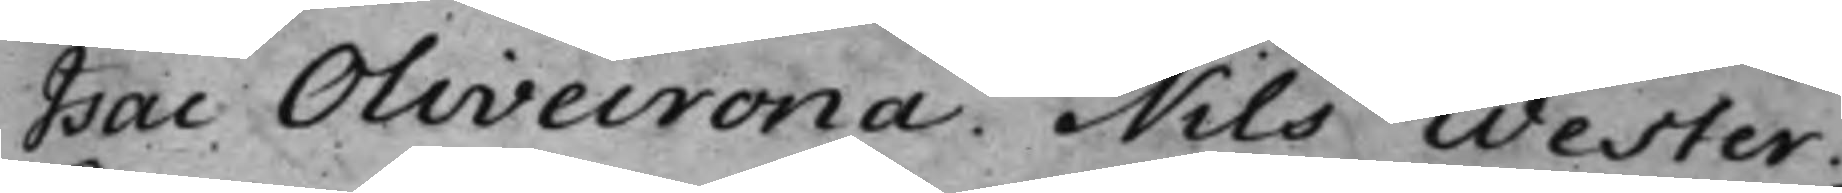Isac Olivecrona. Nils Wester.
